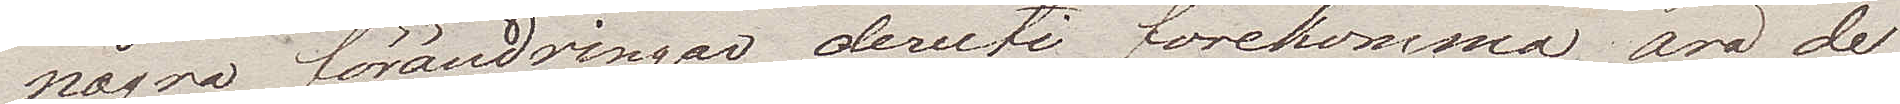några förändringar deruti förekomma äro de
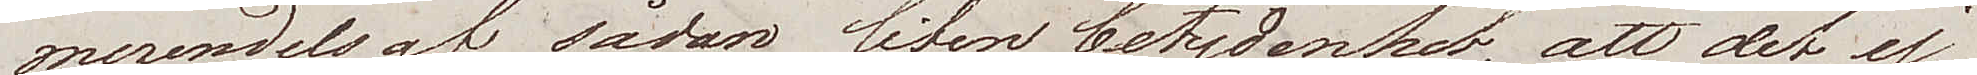merendels af sådan liten betydenhet, att det ej
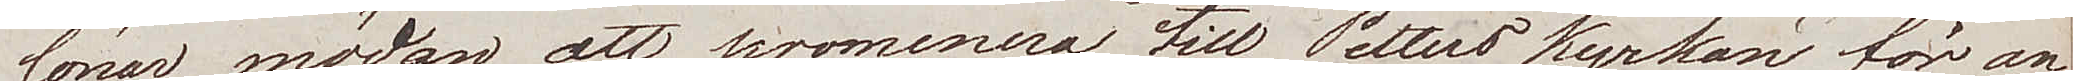löner mödan att promenera till Petters kyrkan för an¬
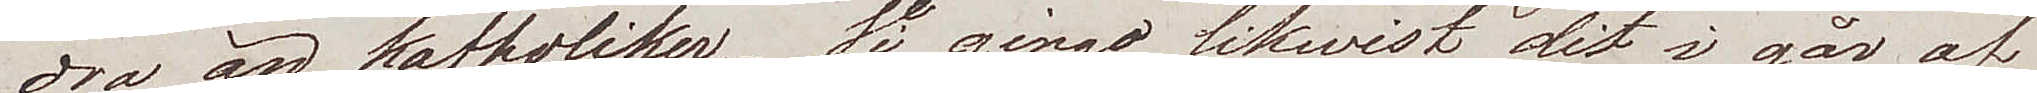dra än kattoliker. Wi gingo likwist dit i går af
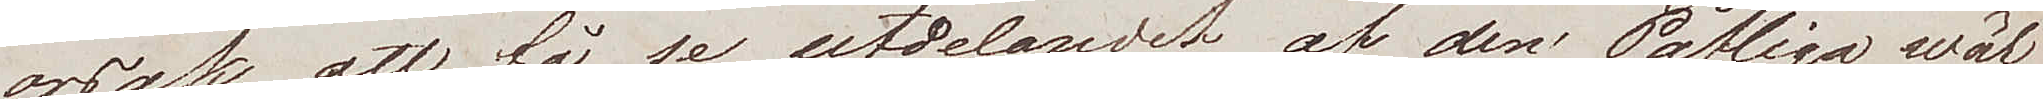orsak att få se utdelandet af den Påfliga wäl¬
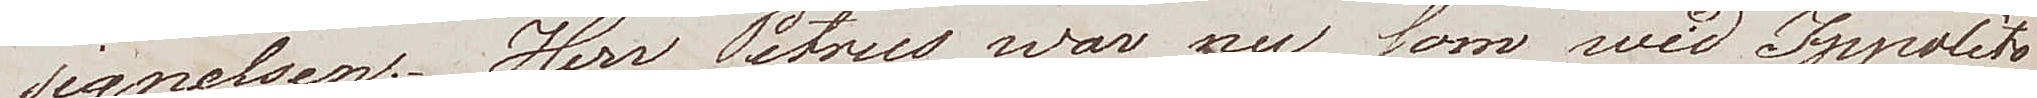signelsen. Herr Petrus war nu som wid Ippolito
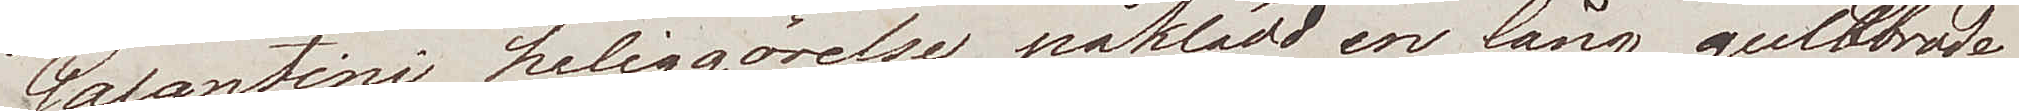Galantini heliggörelse, påklädd en lång guldbrode¬
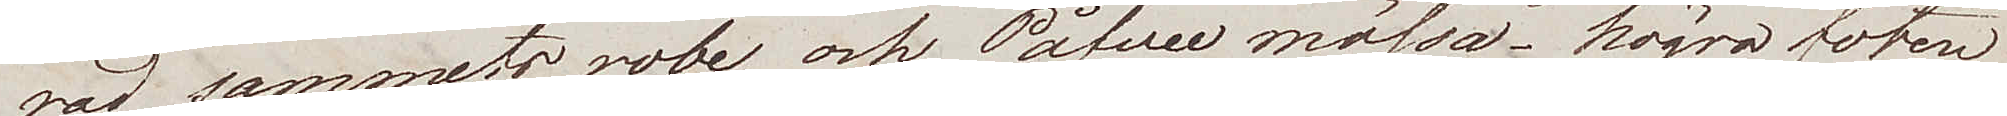derad sammets robe, och Påfwe mössa – högra foten
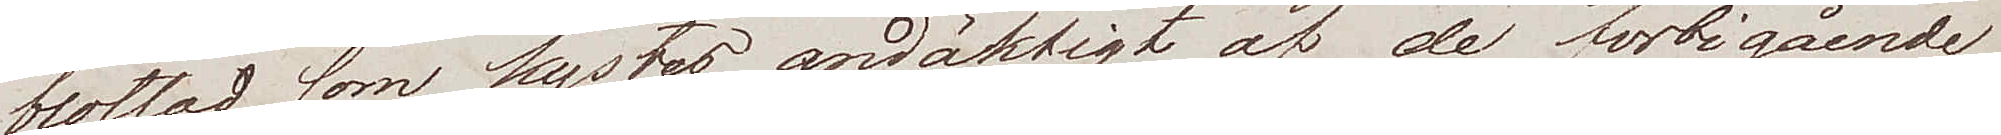blottad som kystes andäktigt af de förbigående,
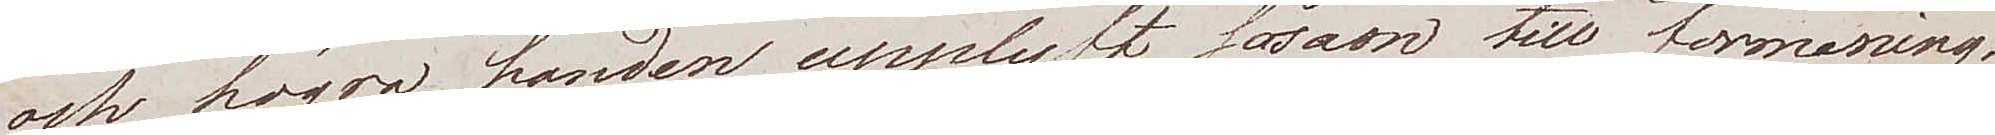och högra handen uppelyft såsom till förmaning.
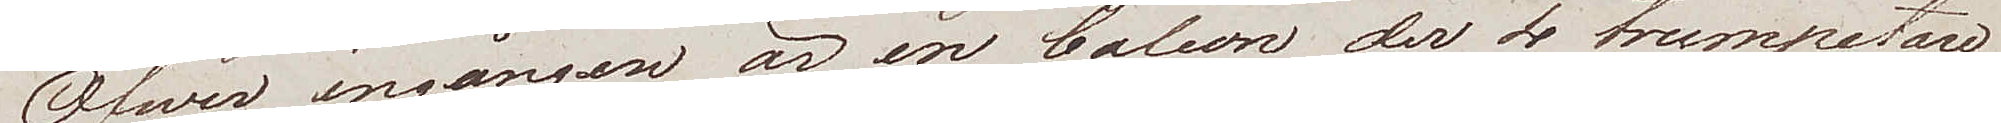Öfwer ingången är en balcon der 4 trumpetare
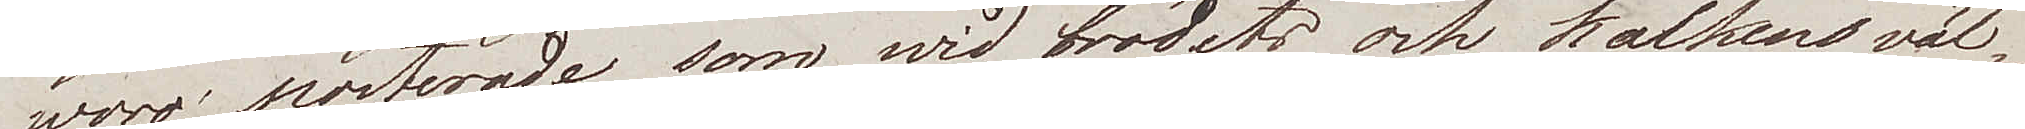woro porterade, som wid brödets och kalkens väl¬
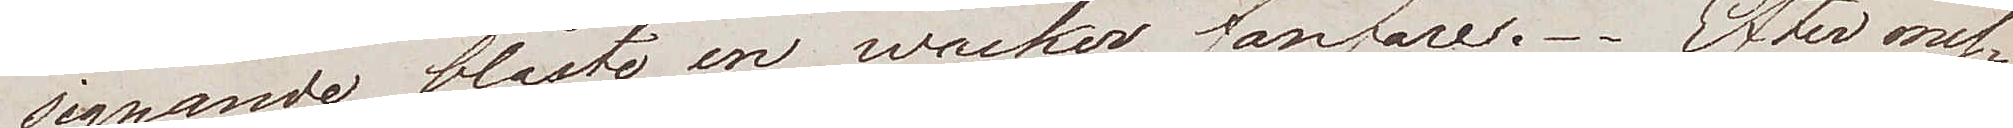signande blåste en wacker fanfarre. Efter mes¬
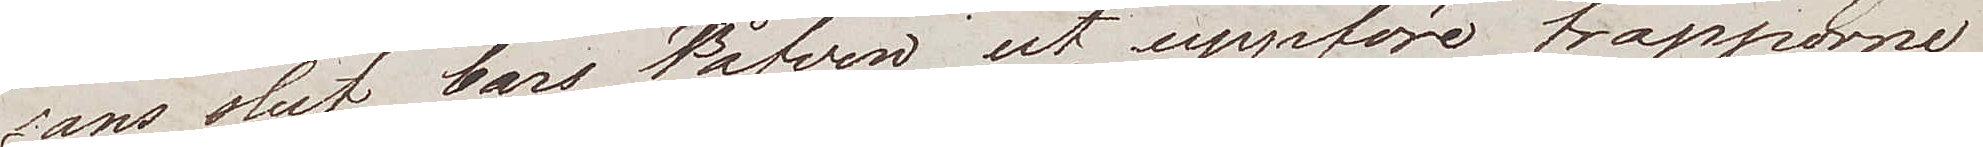sans slut, bars Påfven ut, uppföre trapporne
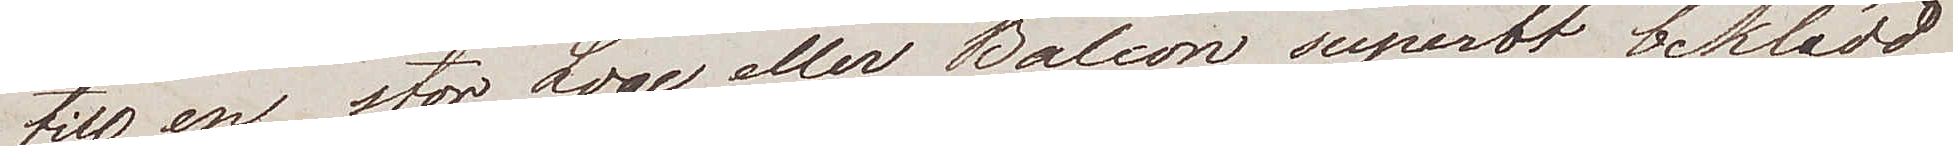till en stor Loge eller Balcon superbt beklädd
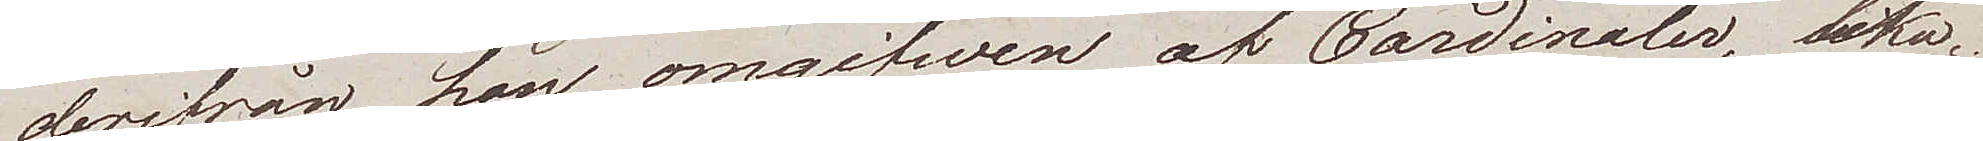derifrån han, omgifwen af Cardinaler, lika¬
